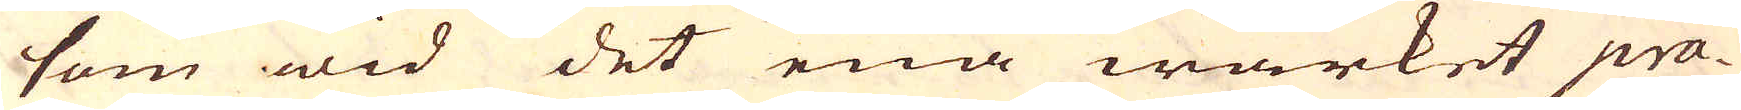som wid det ena wärket pra-
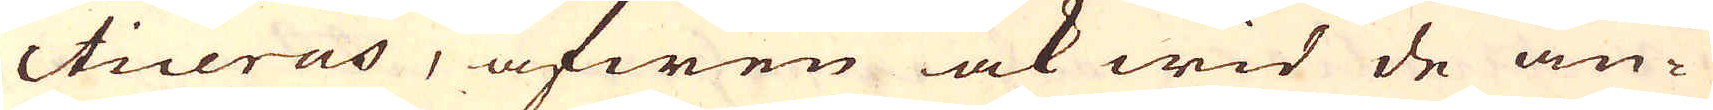cticeras, äfwen ock wid de an-
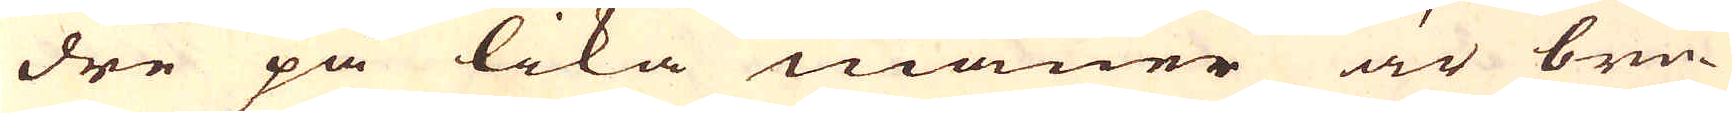dre på lika maner är bru-
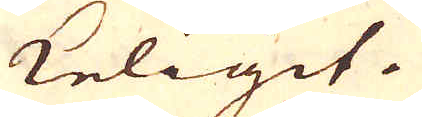keligit.
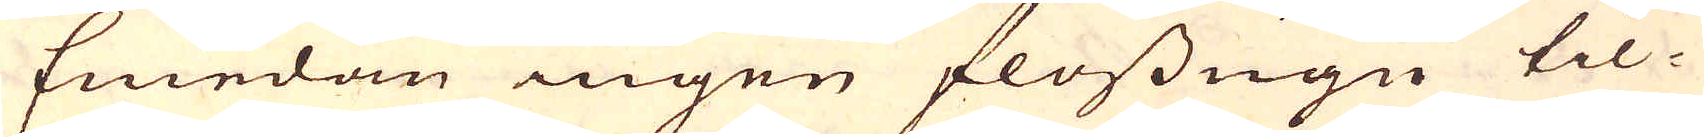Emedan ingen flossugn til-
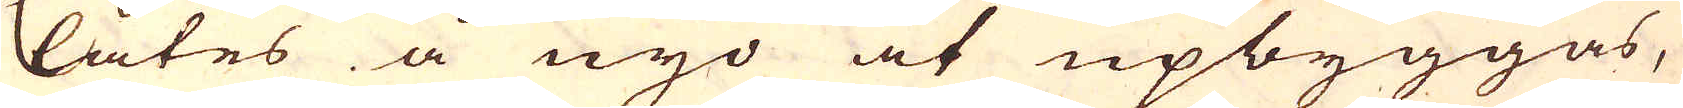låtes å nyo at upbyggas,
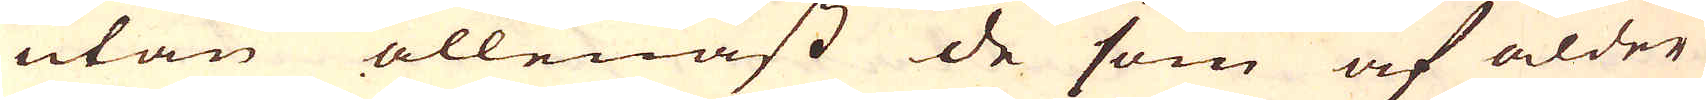utan allenast de som af ålder
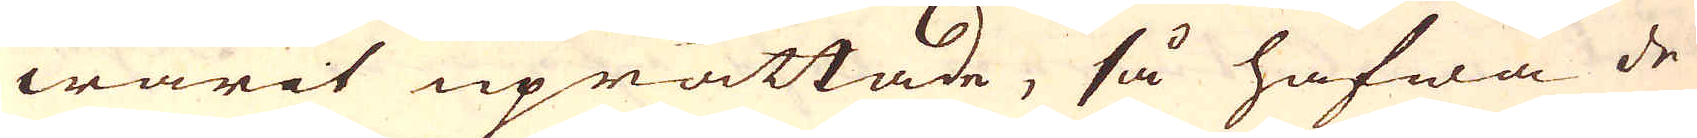warit uprättade, så hafwa de
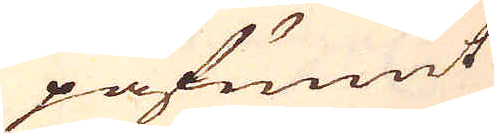påfunnit
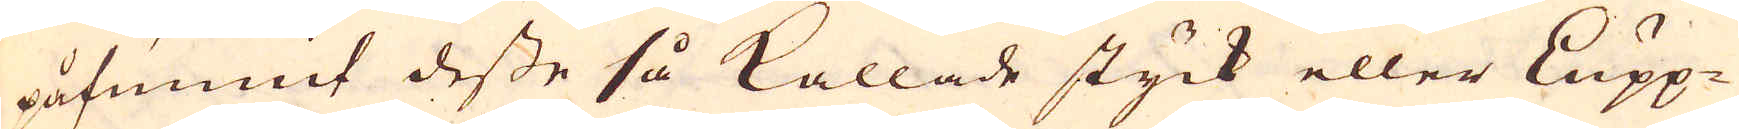påfunnit desse så kallade styck eller Lupp-
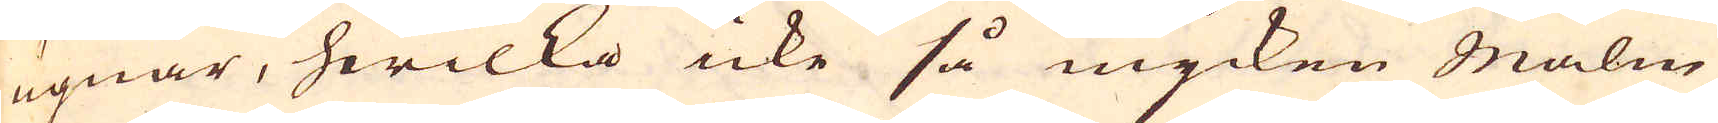ugnar, hwilka icke så mycken Malm
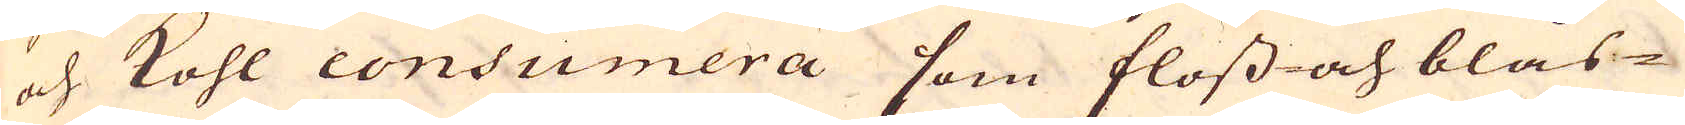och Kohl consumera som floss- och blås-
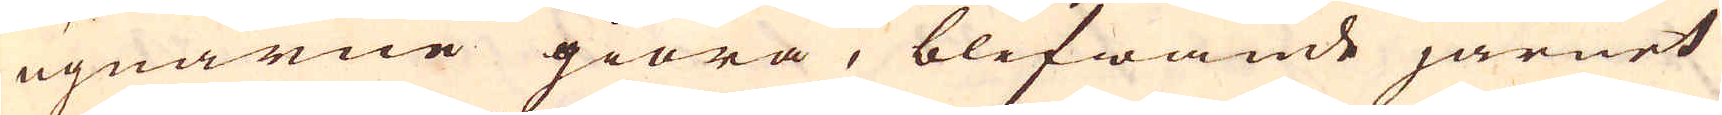ugnarne giöra, blifwande järnet
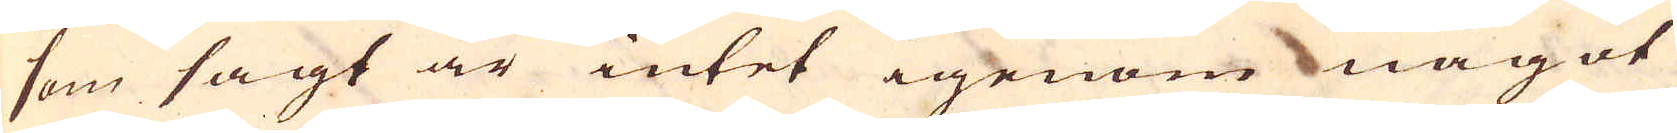som sagt är intet igenom något
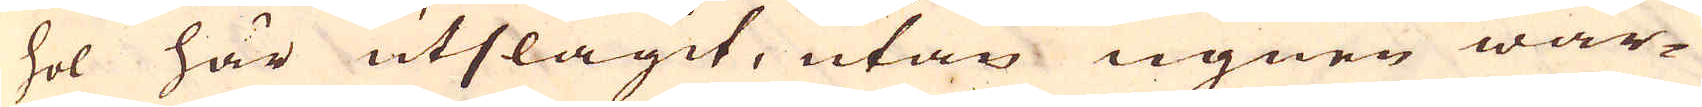hol här utslagit, utan ugnen war-
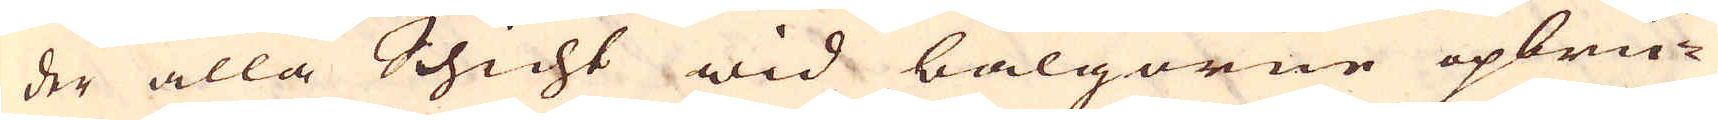der alla Schicht wid bälgorne opbru-
